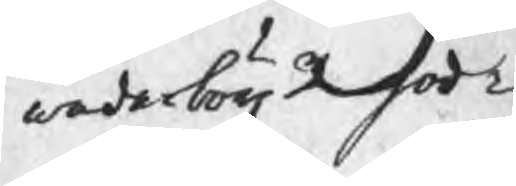wederbörl godt¬
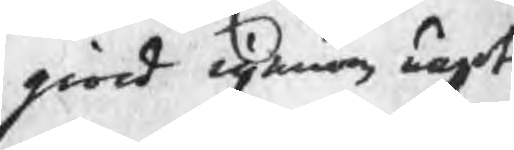giord igenom något
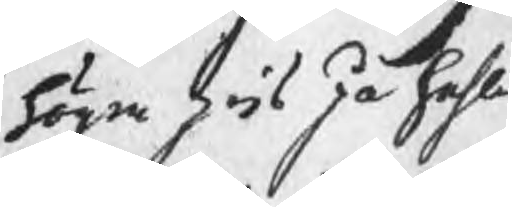högre pris på hehla
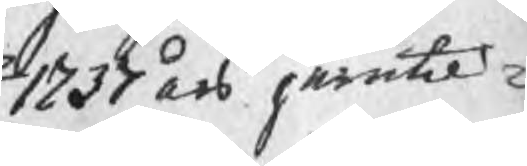1737 års jerntil¬
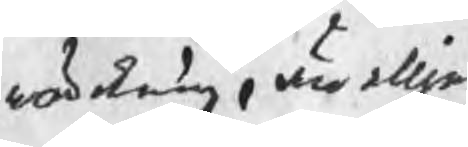wärkning, än elljes
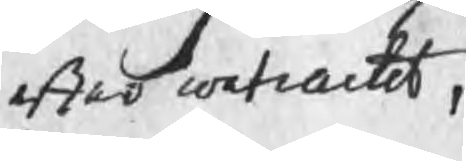efter contractet
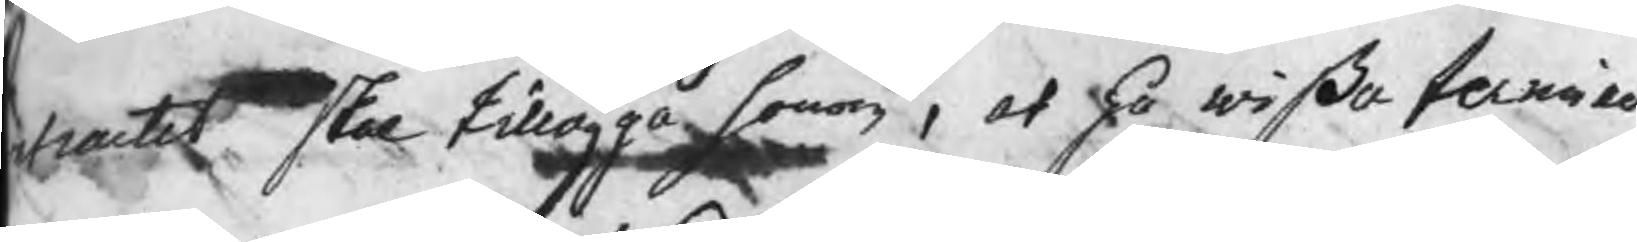tractet skal tillägga honom, at på wißa terminer
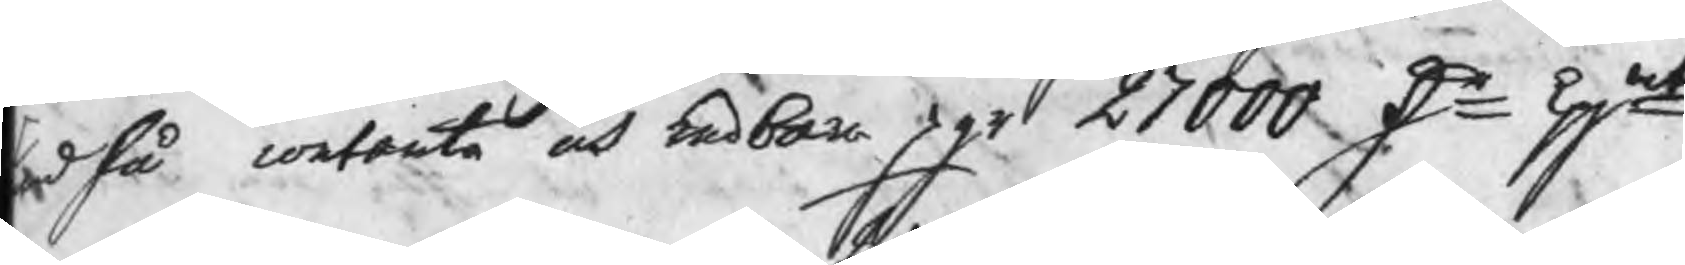ndfå contanta och redbara pgr 27000 Dr kpmt
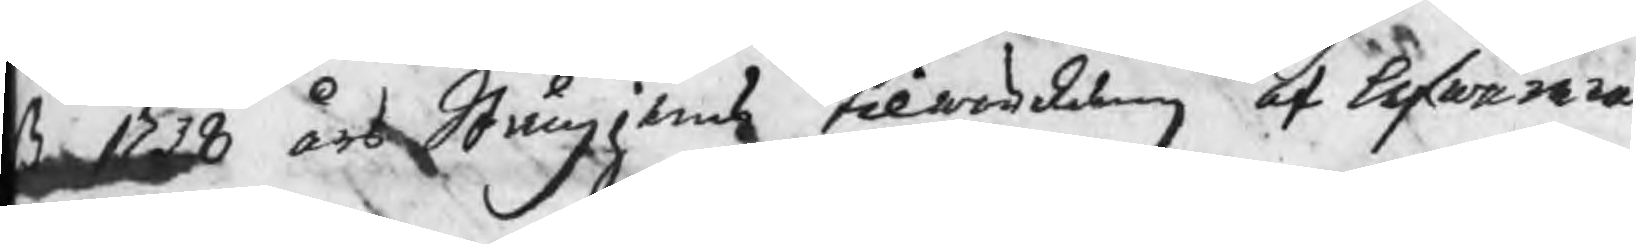ß 1738 års Stångjerns tilwärkning at lefwerera
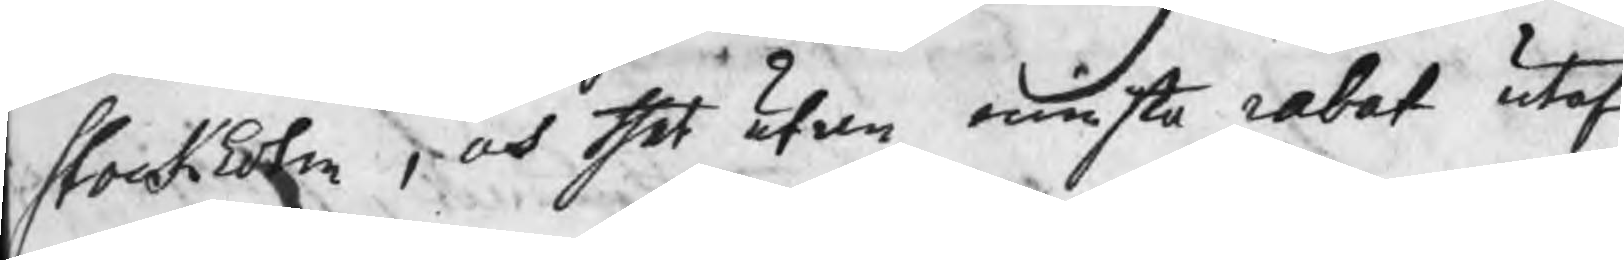Stockholm , och thet utan minsta rabat utaf
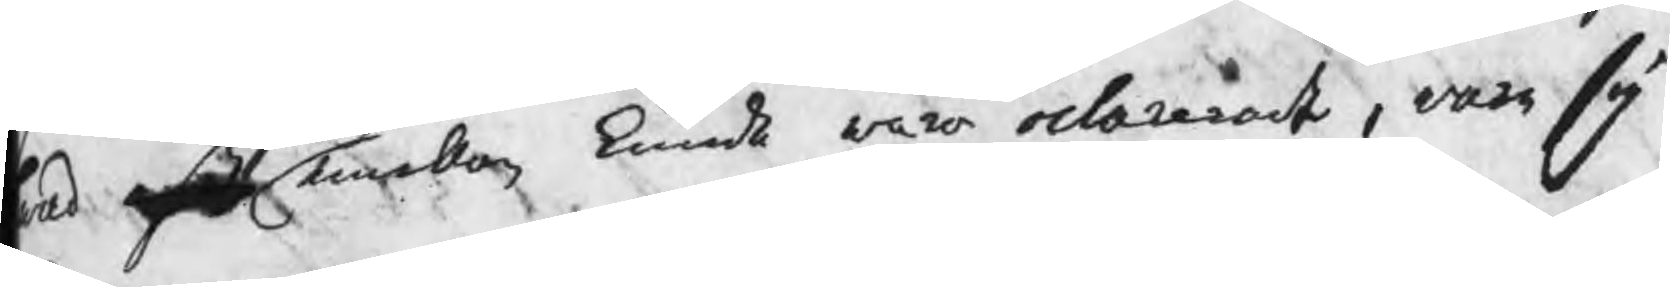wad oß emellan kunde wara oclarerat, ware sig
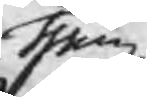them
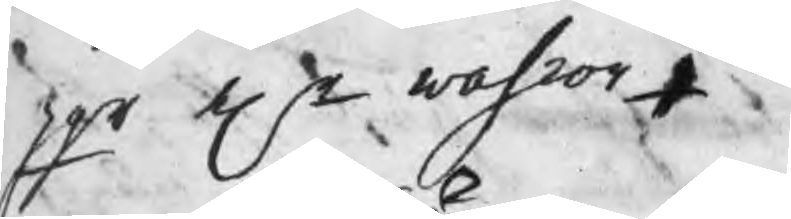pgr elr wahror,
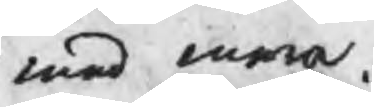med mera
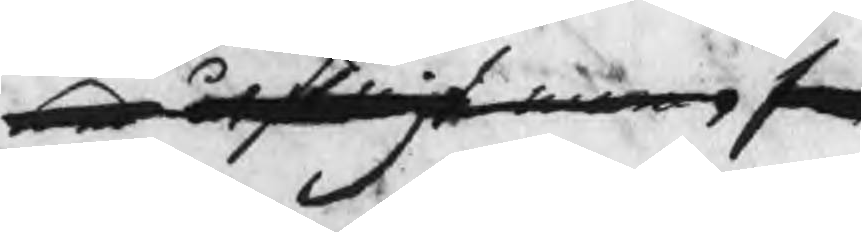med åtskilligt mera, som
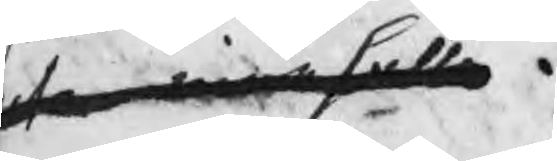utan misshälle.
